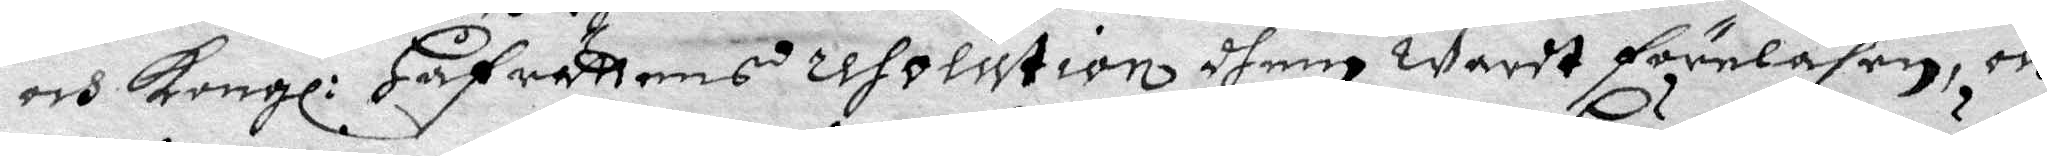och Kongl: Håfrättens resolution dhem wardt föreläsen, och
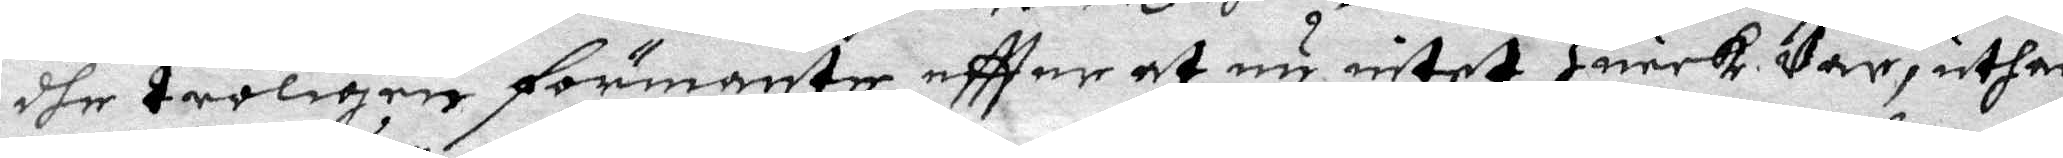dhe troligen förmante eftter at nu intet huark Var, uthan
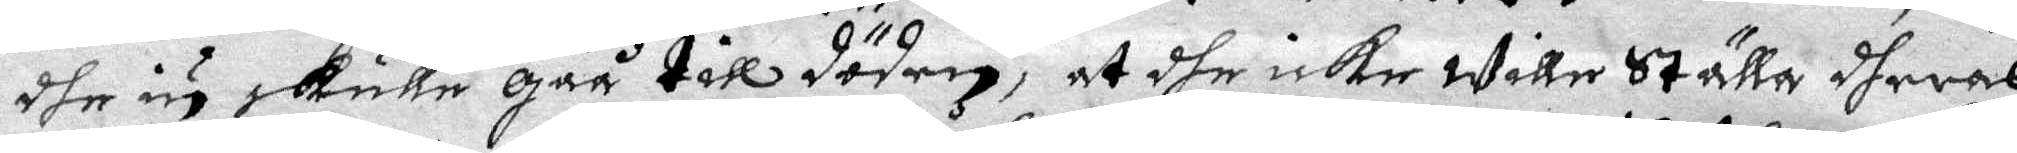dhe iu skulle gåå till döden, at dhe icke wille ställa dheras
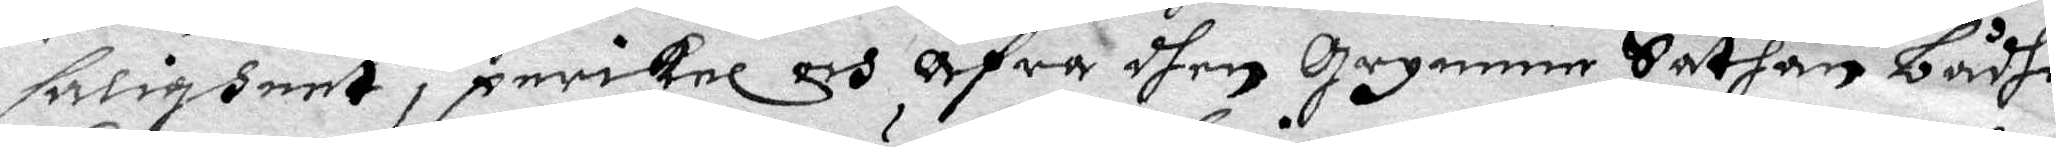saligheet i perikel och årfra dhen Grymme Sathan bådhe
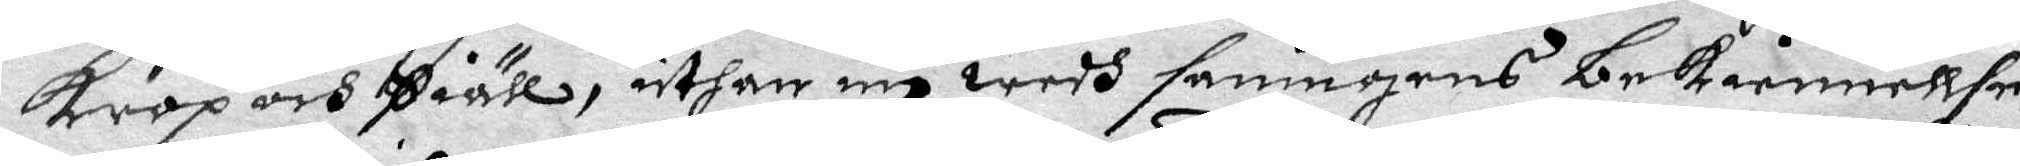Krop och Siähl, uthan eu wedh saningens bekiennellse
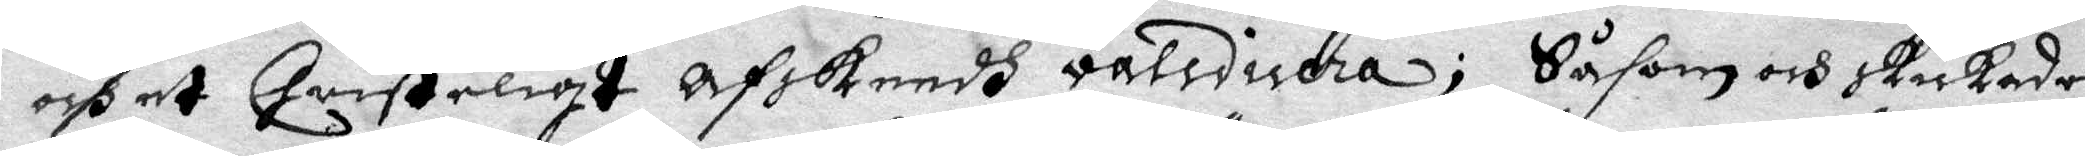och et Qristeligt afskeedh valcidera; Sådom och skickades
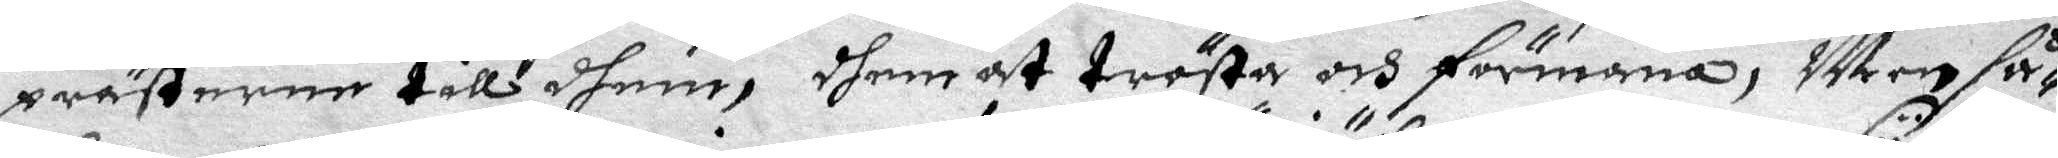prästerne till shem, dhem at trösta och förmana, Men så¬
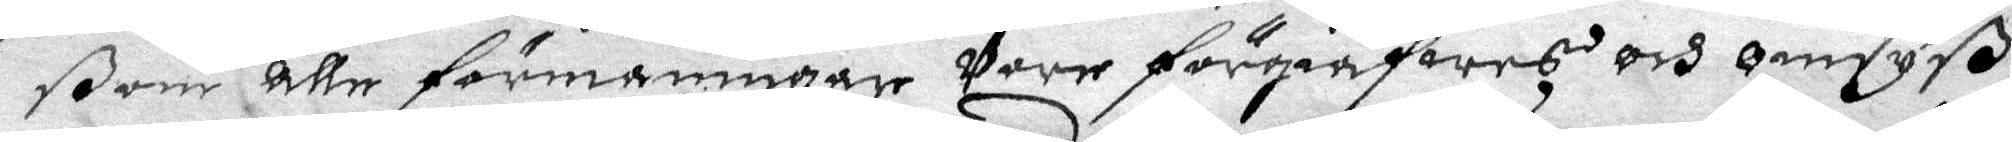ßom alle förmaningar Vore förgiäfwes och omsyß,
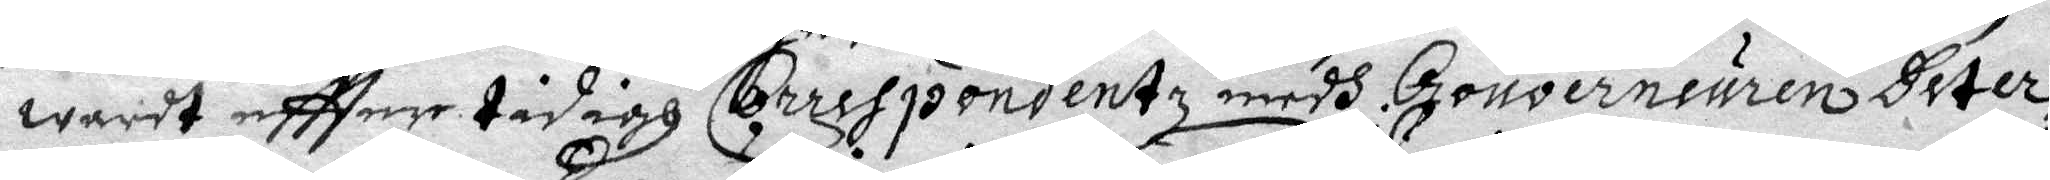warit eftter tidigh Correspondentz medh Gouverneuren Deter¬
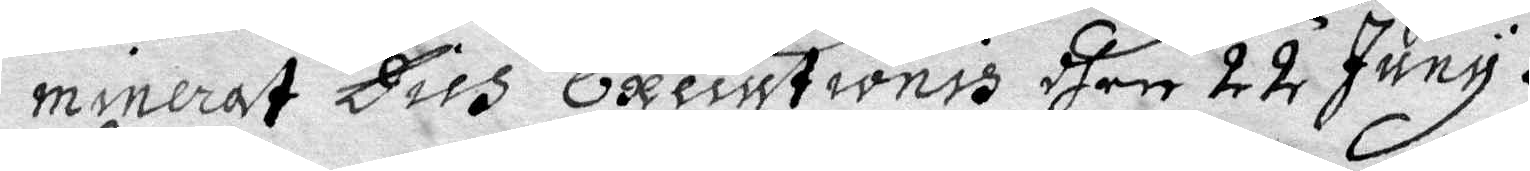minerat Dies Executionis dhen 22 Juny.
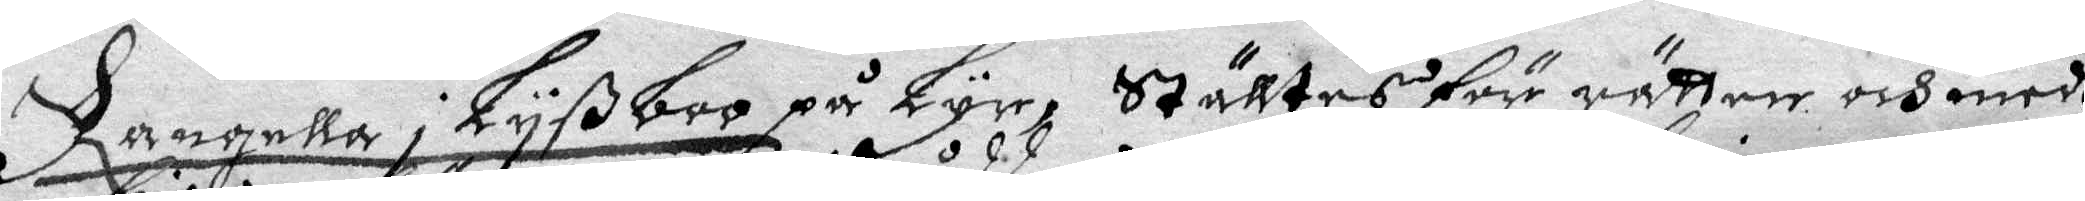Rangella i Lyßboo på Lyr, Ställtes för rätten och medh
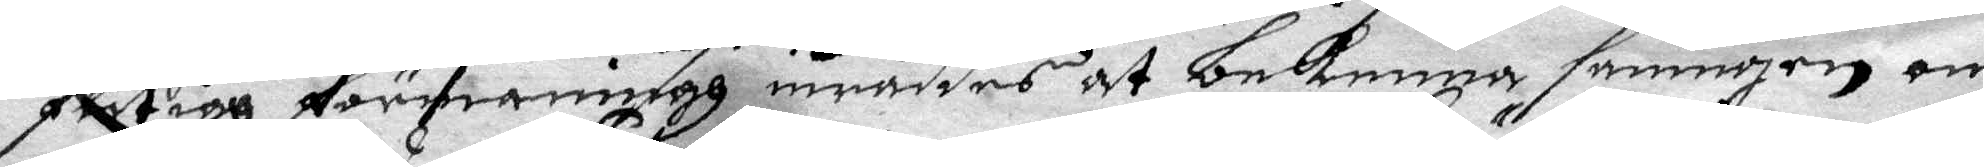flitigh förmaningh inråddes at bekenna saningen om
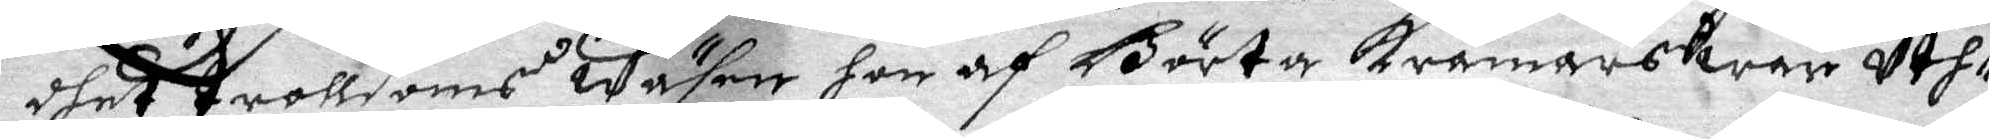dhet trolldoms wäsen hon af Börta Krämars war uth¬
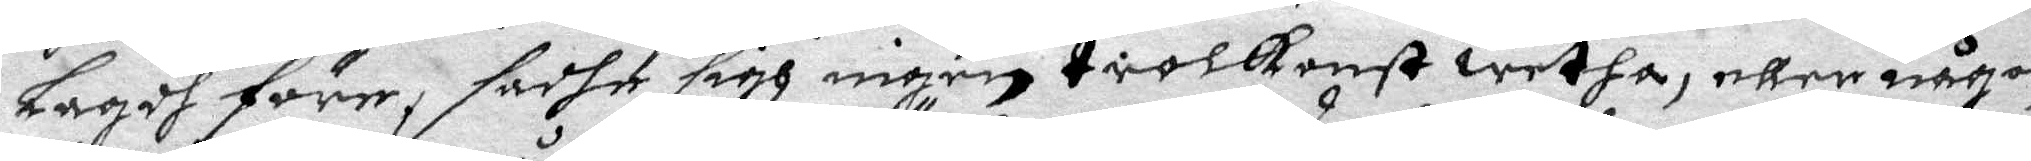lagdt före, sadhe sigh ingen trolkonst wetha, eller någon¬
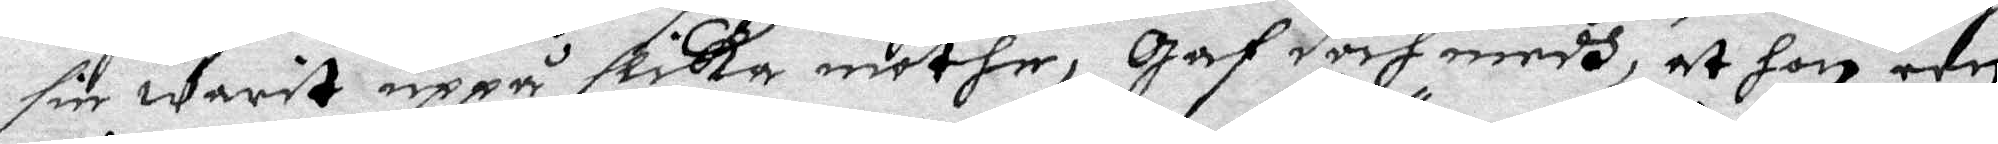sin warit uppå slika möthen, gaf derhmedh, at hon een
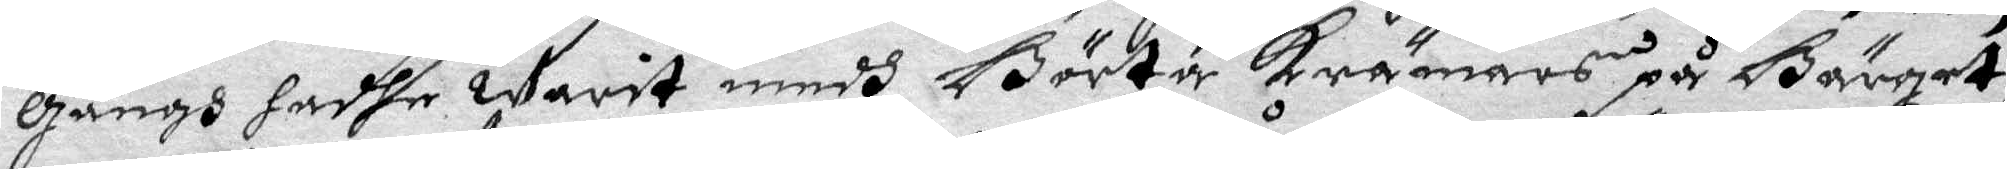Gångh hadhe warit medh Börta Krämars på Bärget,
